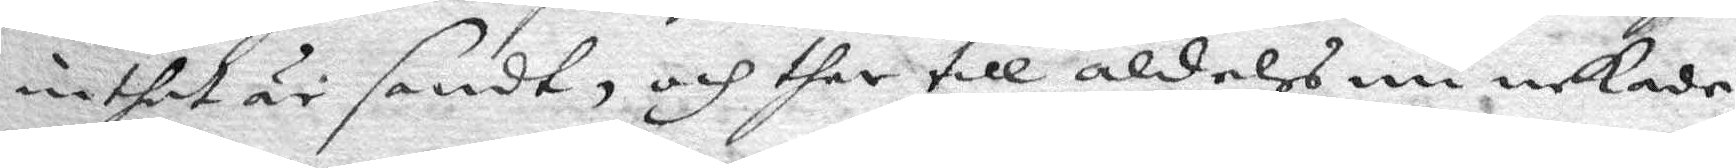intet är sandt, och ther till aldeles nu nekade,
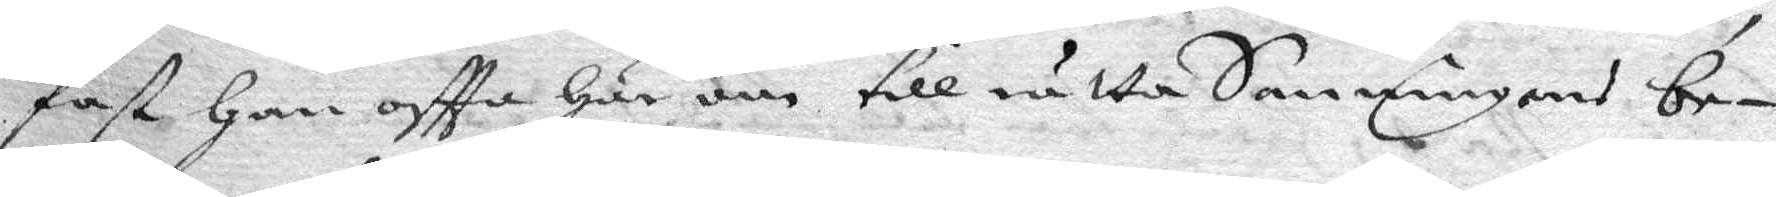fast han oftta Här om till rätta Sanningens be¬
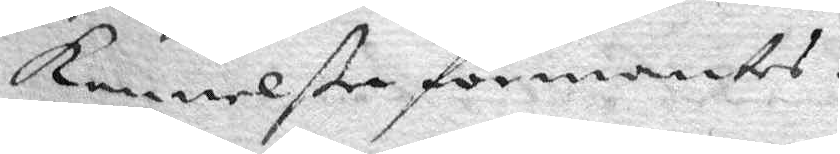kennelße förmantes.
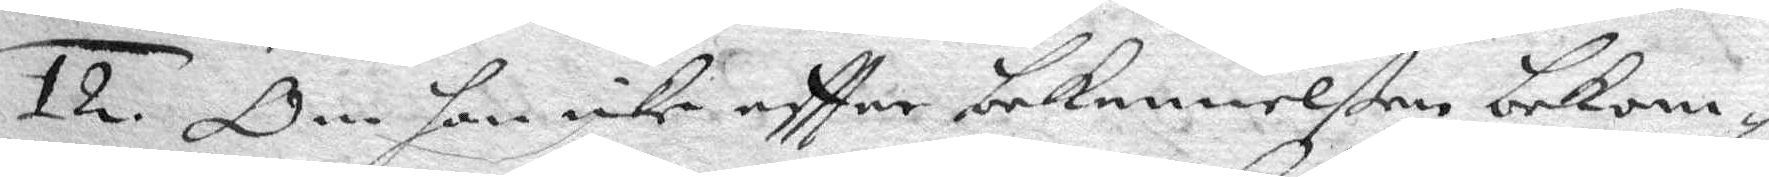12. Om han icke eftter bekennelßen bekom¬
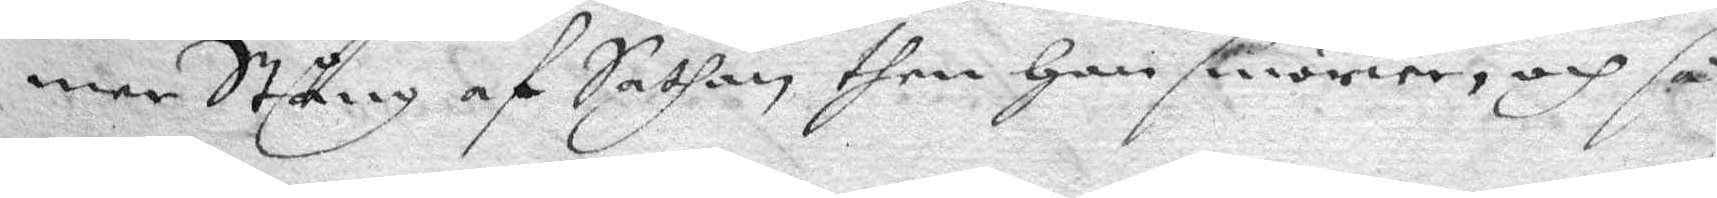mer stång af Sathan then Han smörier, och så
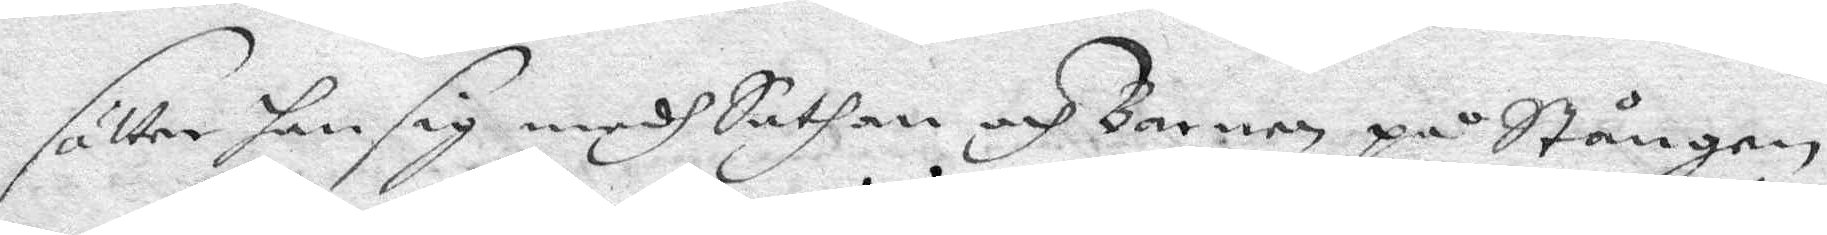sätter han sig medh Sathan och Barnen på Stången
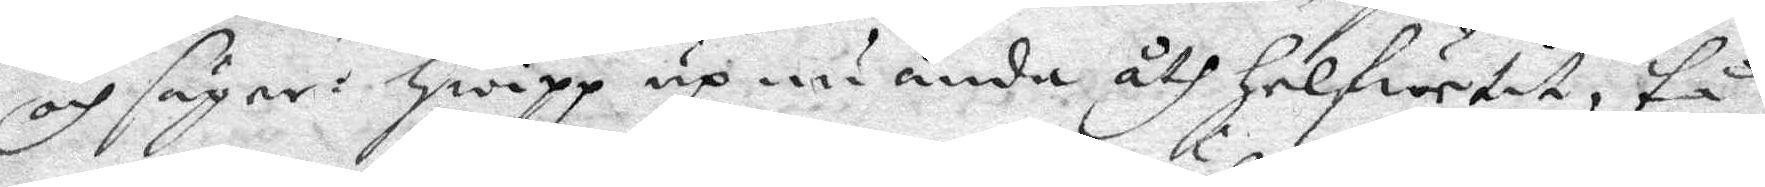och säger: Hwipp up nu ända åth Helfwetit, tå
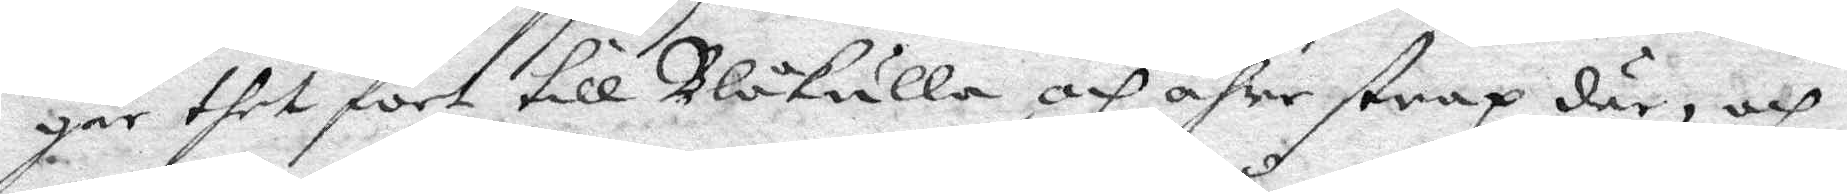går thet fort till Blåkulla och ähre strax där, och
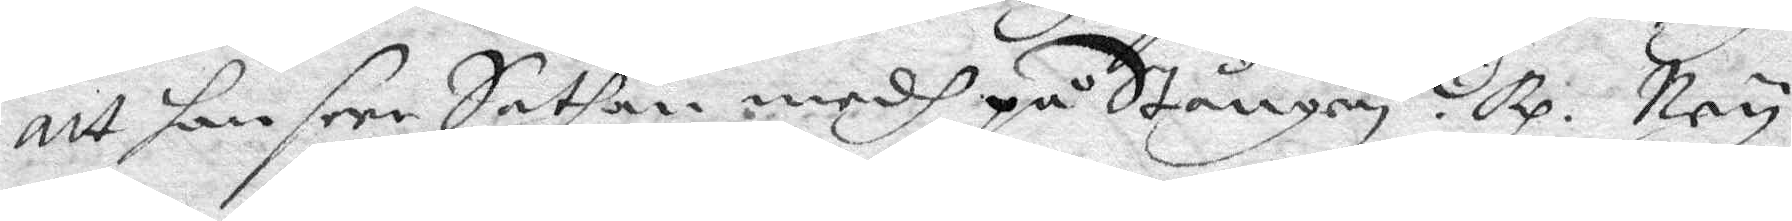att han seer Sathan medh på Stången? Rp. Ney,
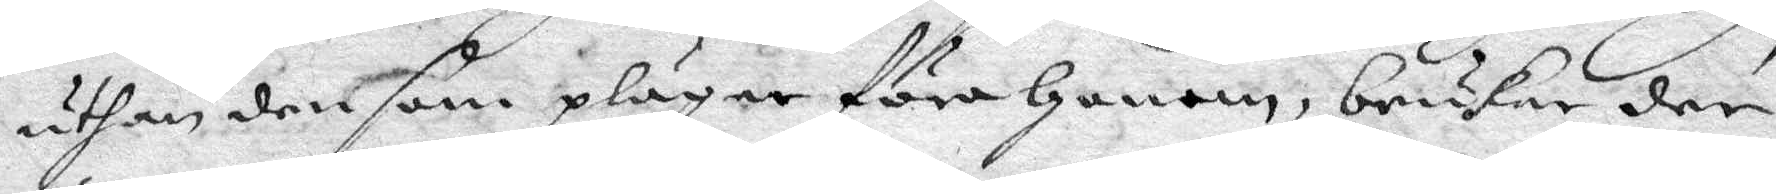uthan den som plägar föra Honom, brukar der
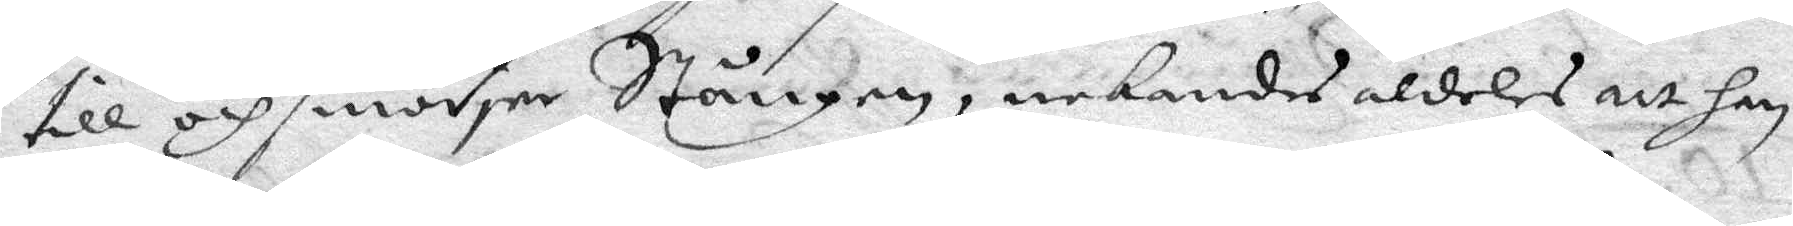till och smörjer Stången, nekandes aldeles att Han
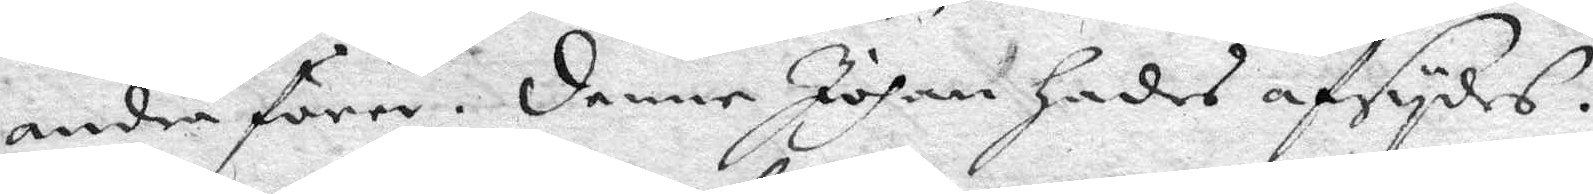andra förer. Denne Johan Hades afsydes.
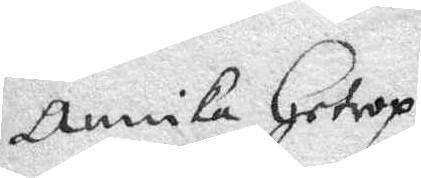Annika Getrop
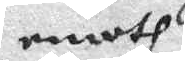emoth
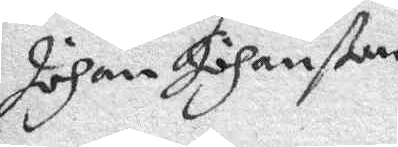Johan Johanßon.
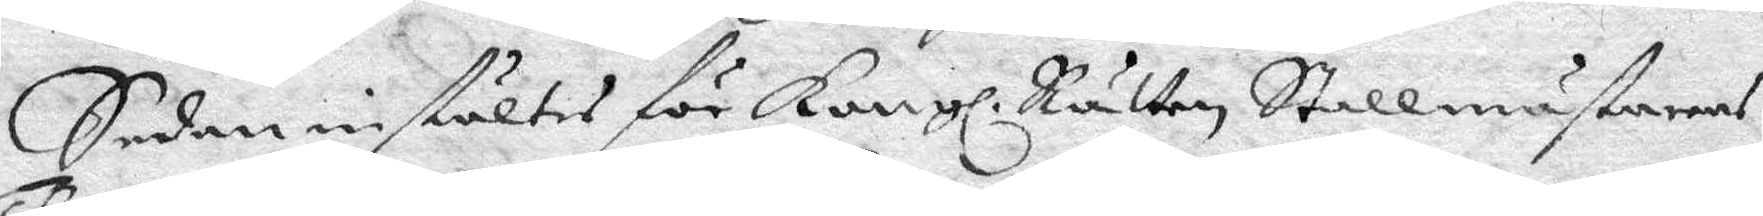Sedan instältes för Kongl. Rätten Stallmästarens
